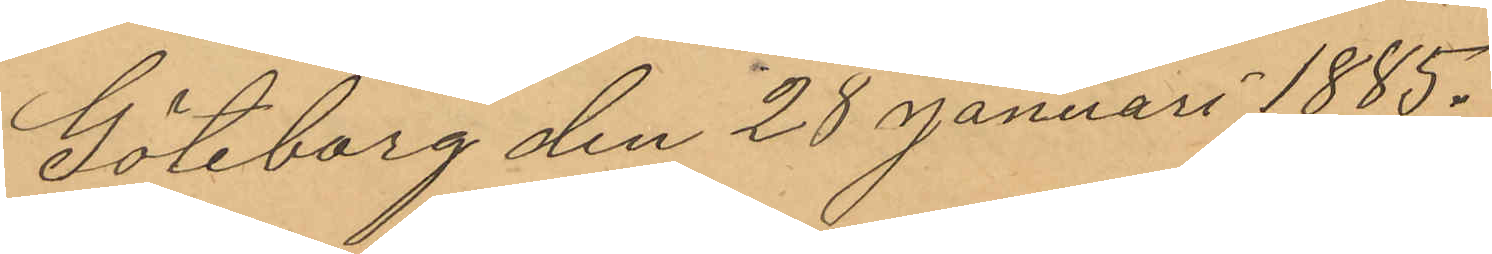Göteborg den 28 Januari 1885.
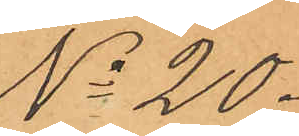No 20.
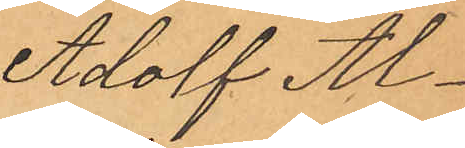Adolf Al¬
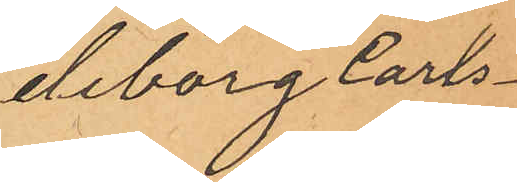deborg Carls¬
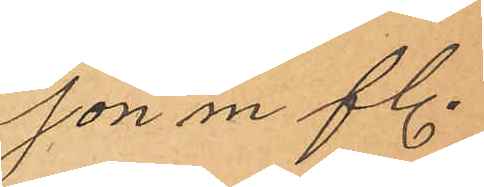son m fl.
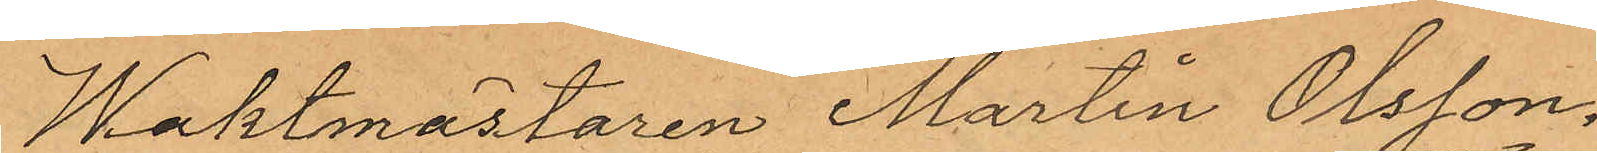Waktmästaren Martin Olsson,
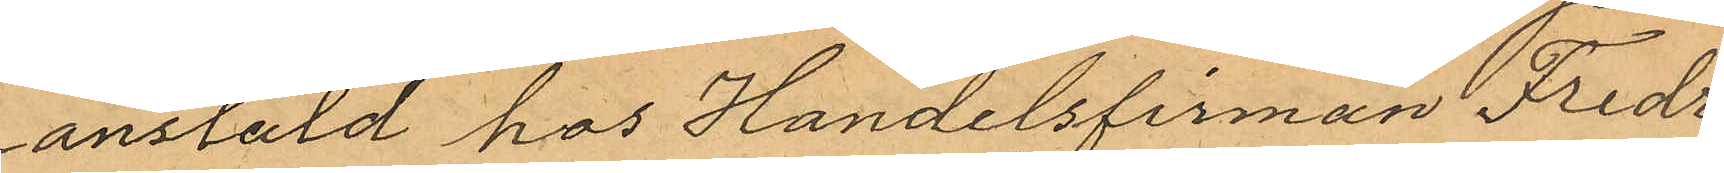anstäld hos Handelsfirman Fredr:
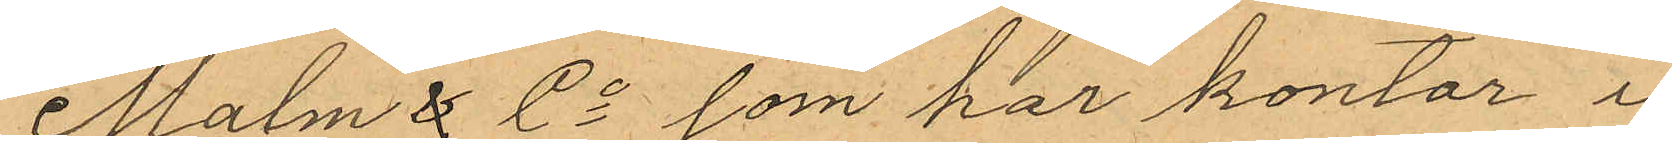Malm & Co som har kontor i
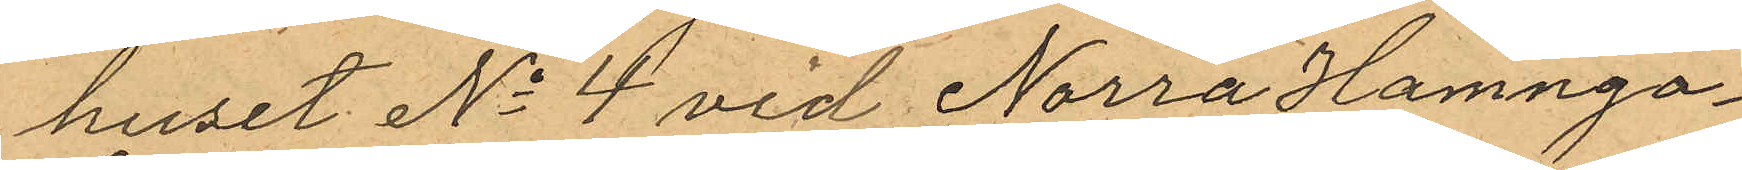huset No 4 vid Norra Hamnga¬
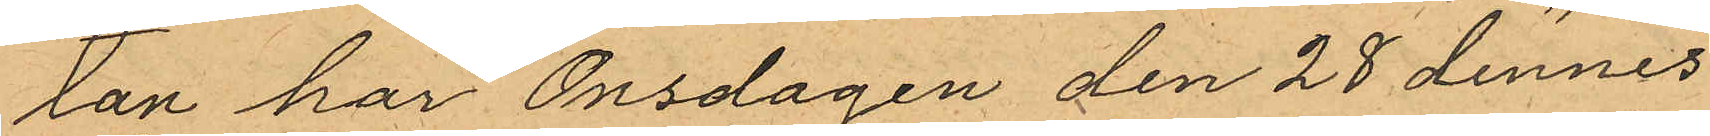tan har Onsdagen den 28 dennes
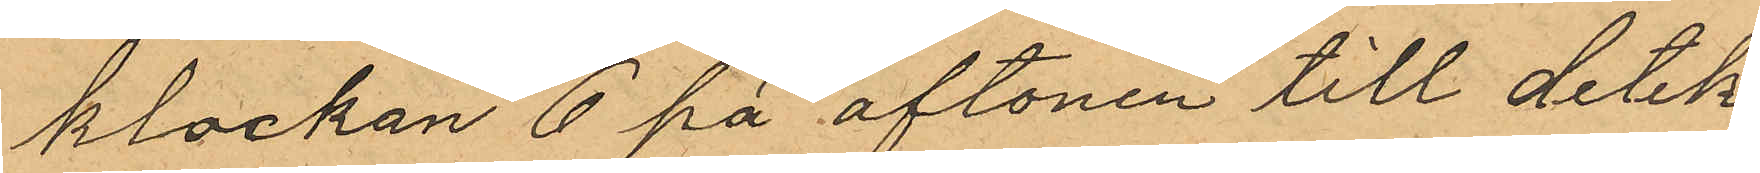klockan 6 på aftonen till detek¬
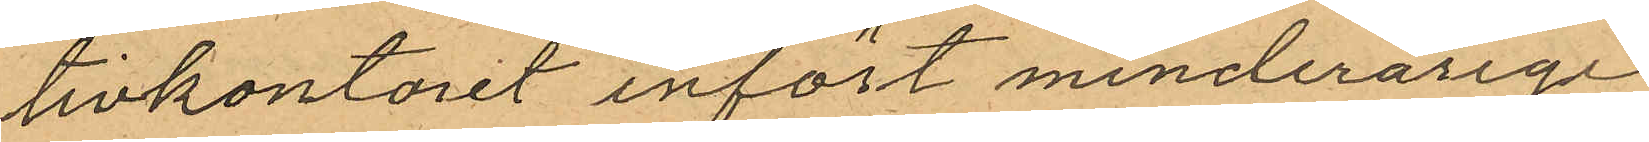tivkontoret infört minderårige
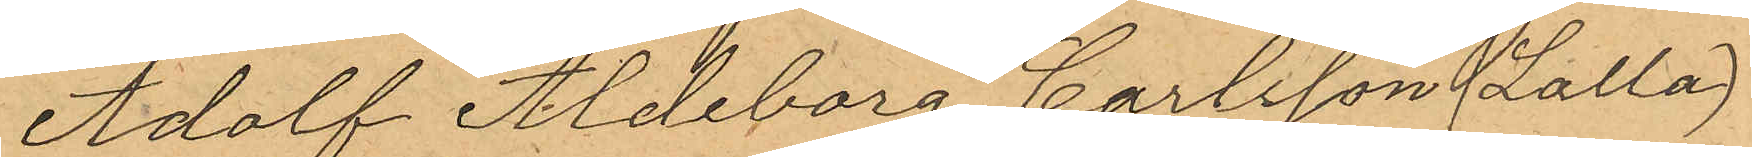Adolf Aldeborg Carlsson (Lalla)
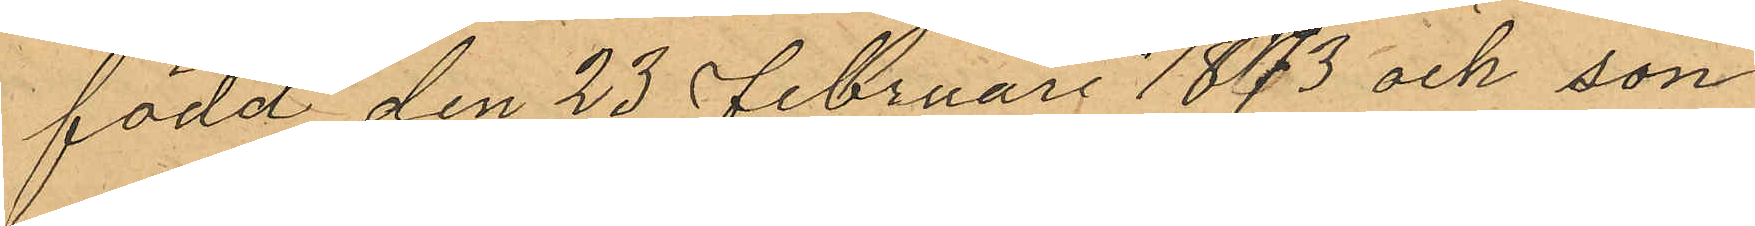född den 23 Februari 1873 och son
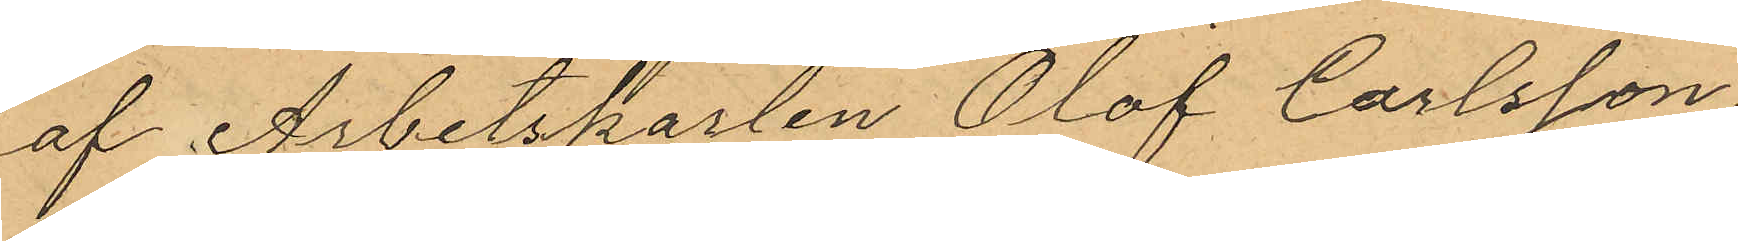af Arbetskarlen Olof Carlsson,
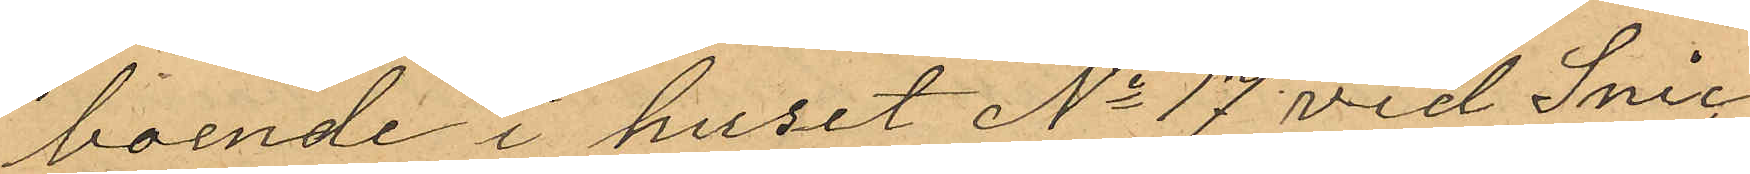boende i huset No 17 vid Snic¬
